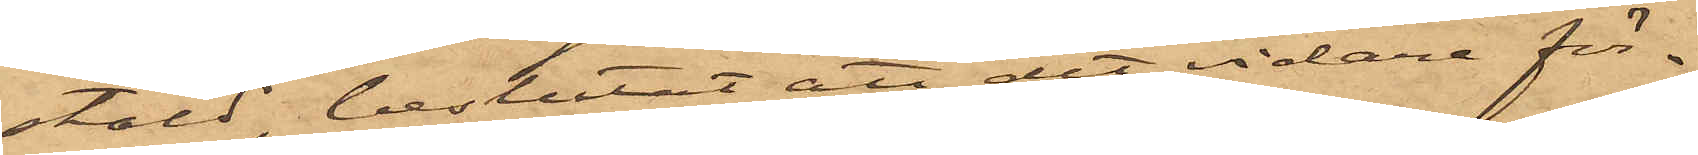stäld, beslutat att det vidare för¬
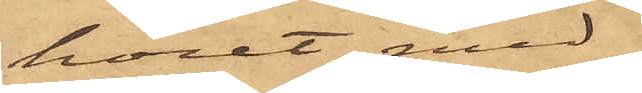höret med
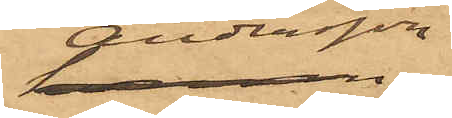Andersson
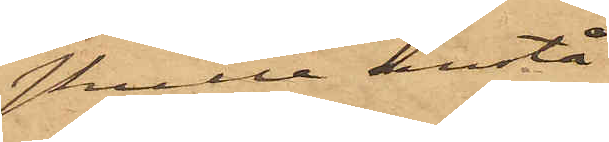skulle anstå
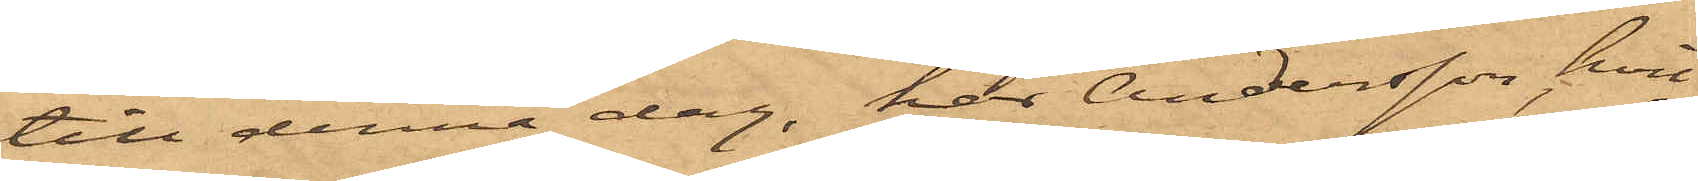till denna dag, har Andersson, hvil¬
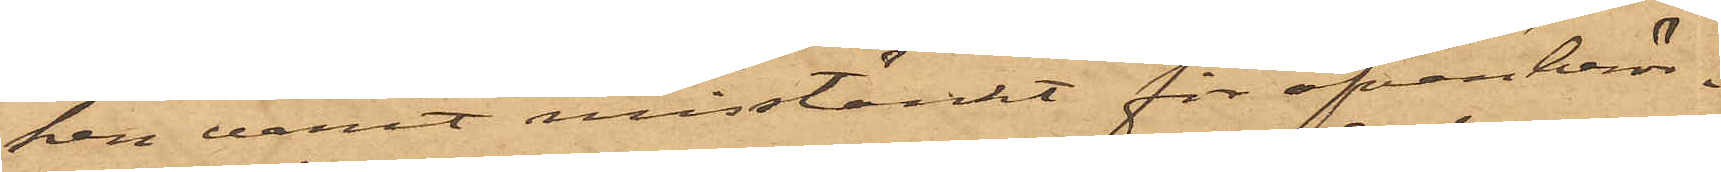ken varit misstänkt för ofvanberör¬
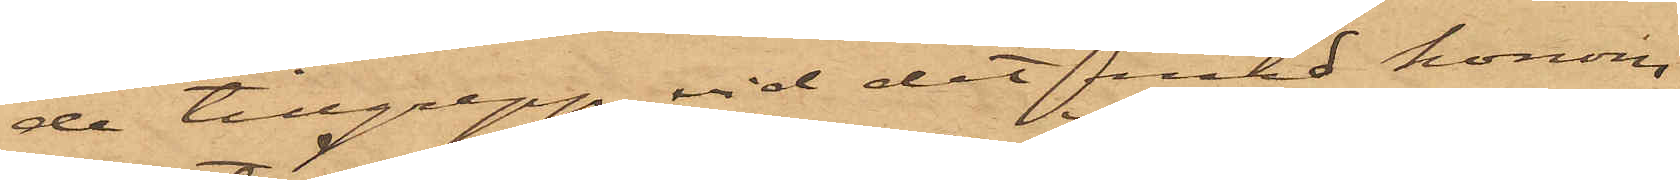de tillgrepp, vid det med honom
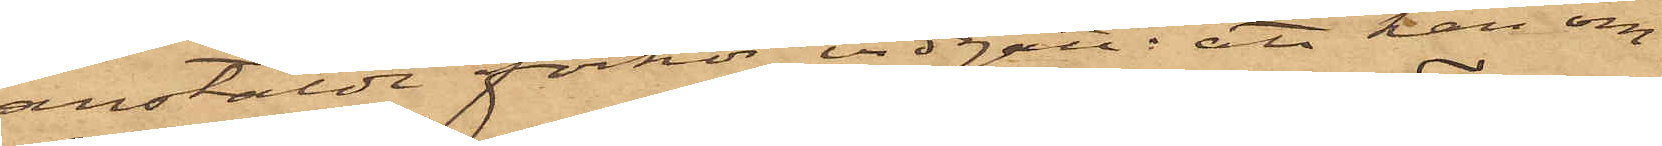anstälde förhör vidgått: att han om¬
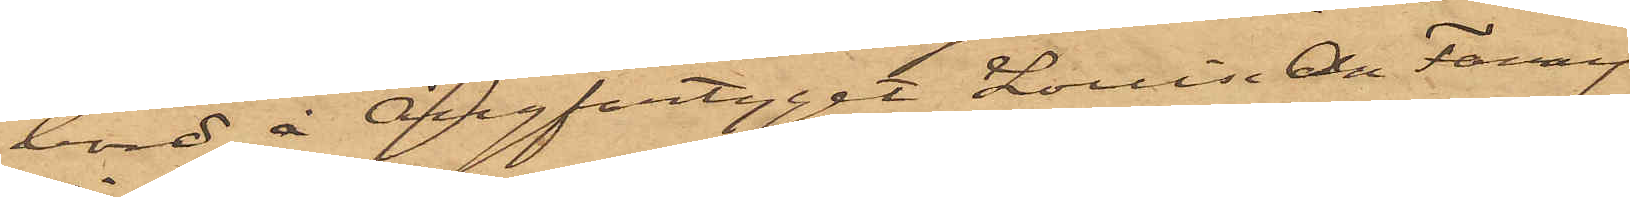bord å Ångfartyget Louise Ann Fanny
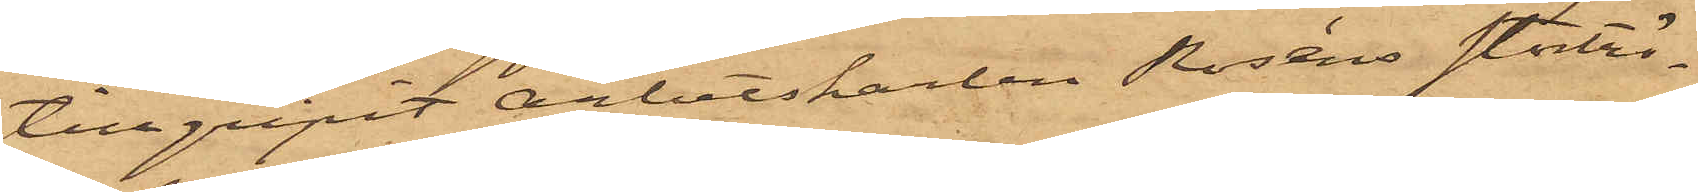tillgripit arbetskarlen Roséns stortrö¬
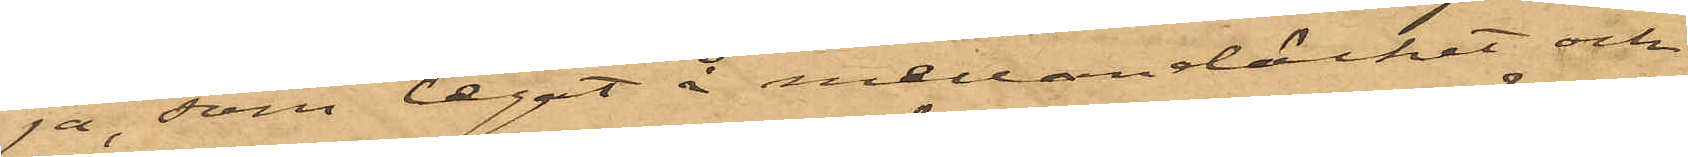ja, som legat å mellandäcket och
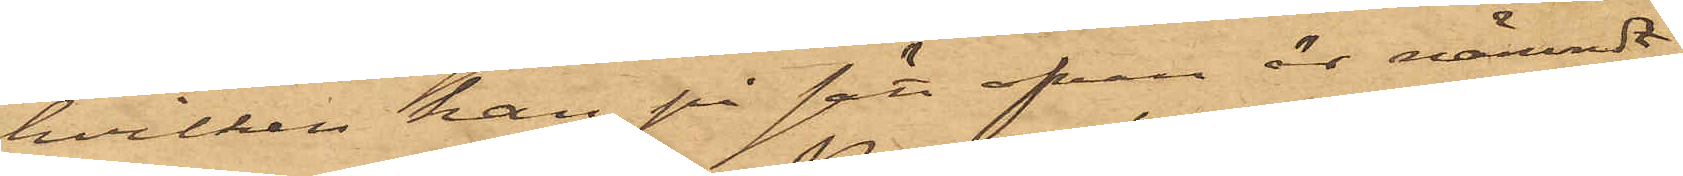hvilken han, på sätt ofvan är nämndt,
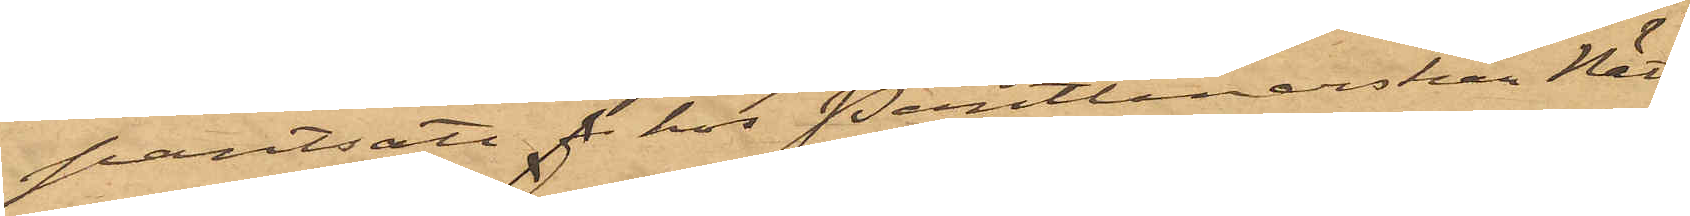pantsatt f hos Pantlånerskan Nätt;
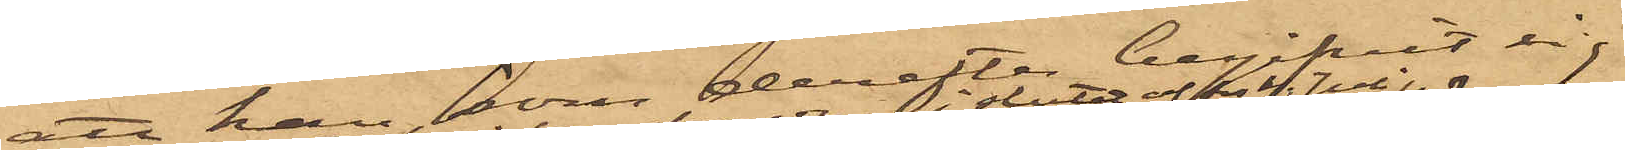att han, som derefter begifvit sig
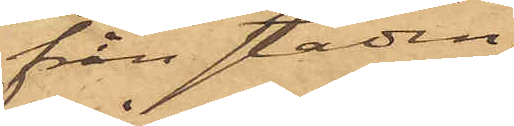från staden
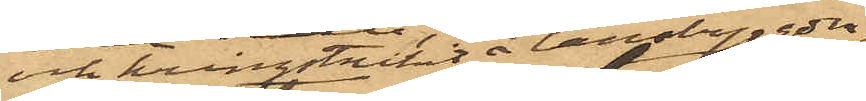och kringstrukit å landsbygden,
